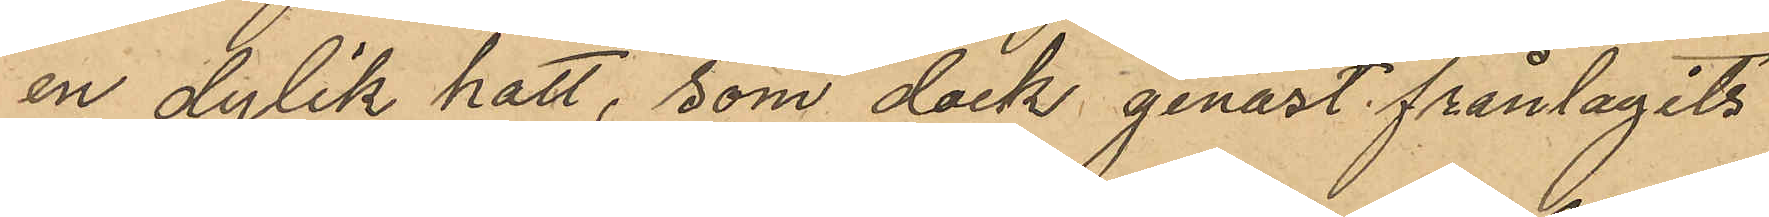en dylik hatt, som dock genast frånlagits
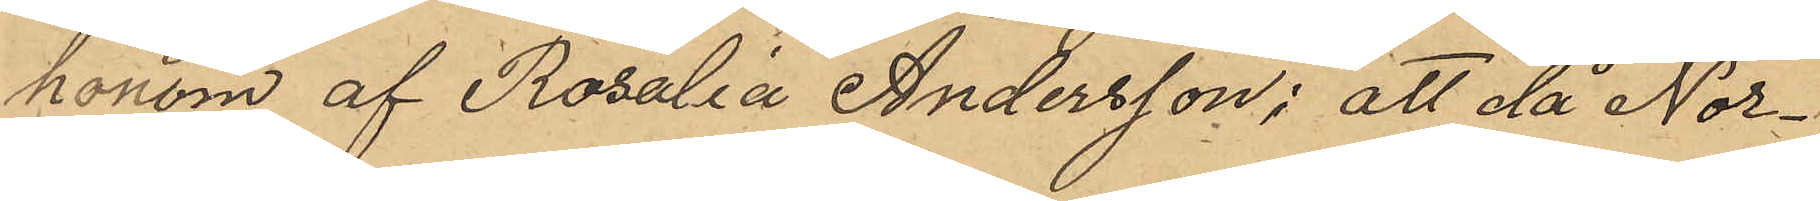honom af Rosalia Andersson; att då Nor¬
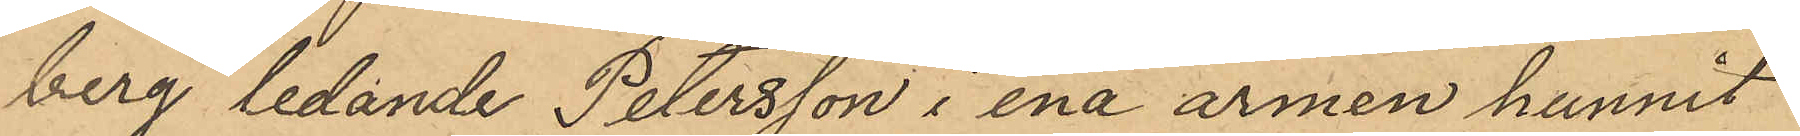berg ledande Petersson i ena armen hunnit
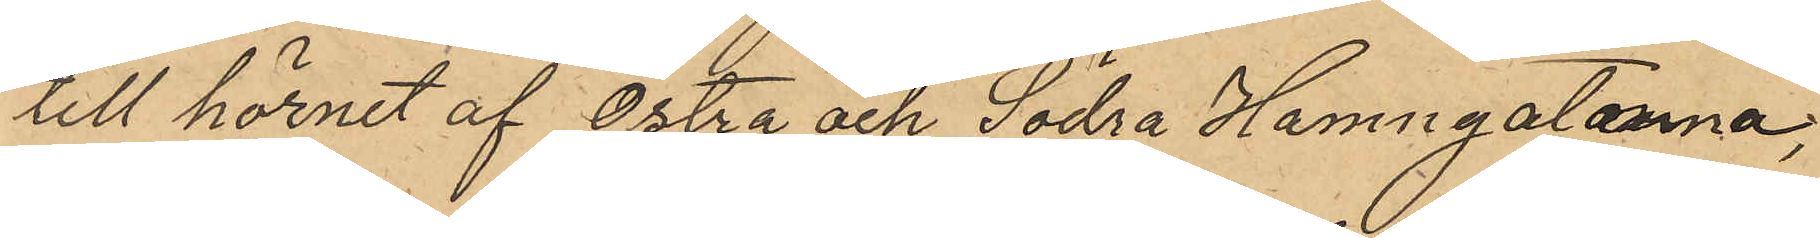till hörnet af Östra och Södra Hamngatorna,
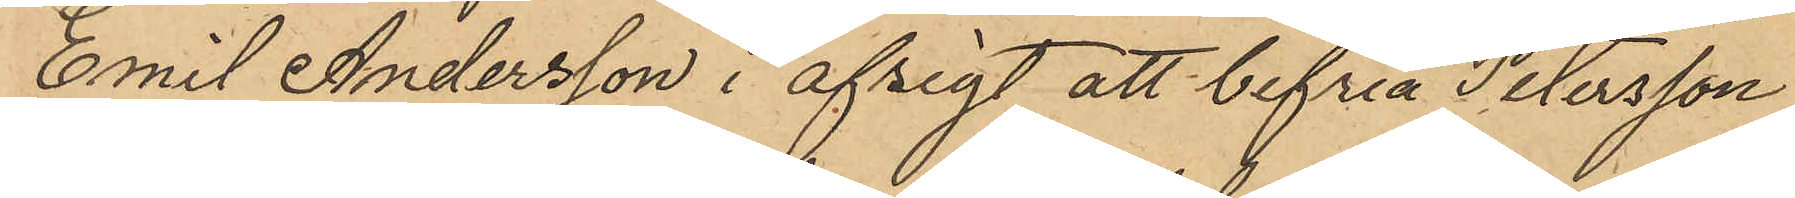Emil Andersson i afsigt att befria Petersson
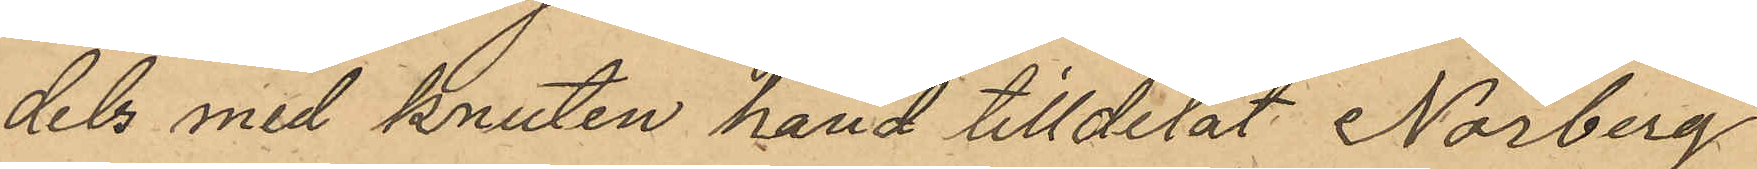dels med knuten hand tilldelat Norberg
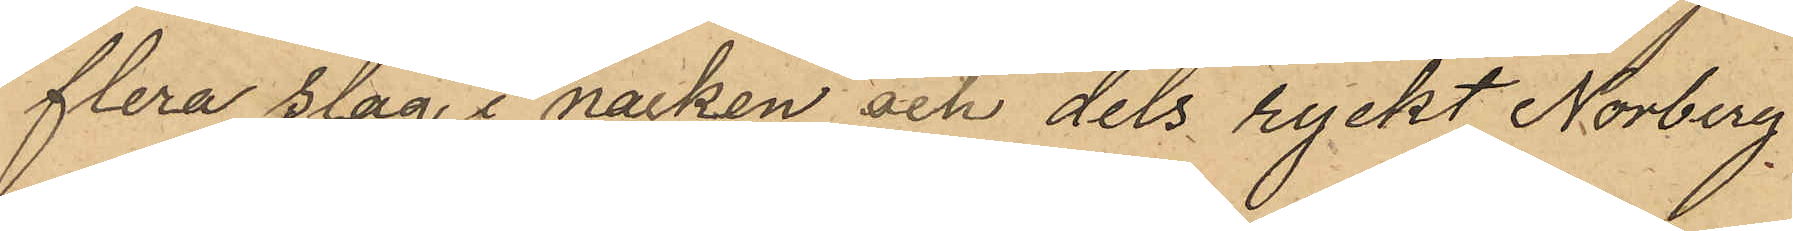flera slag i nacken och dels ryckt Norberg
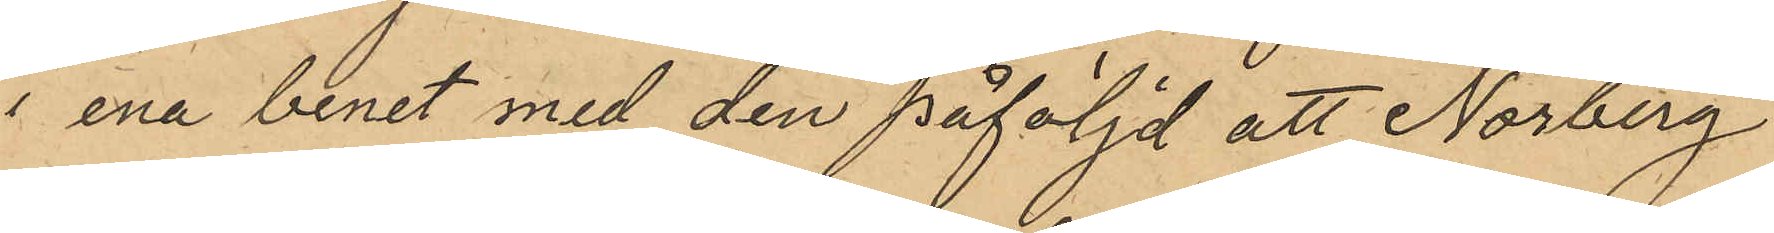i ena benet med den påföljd att Norberg
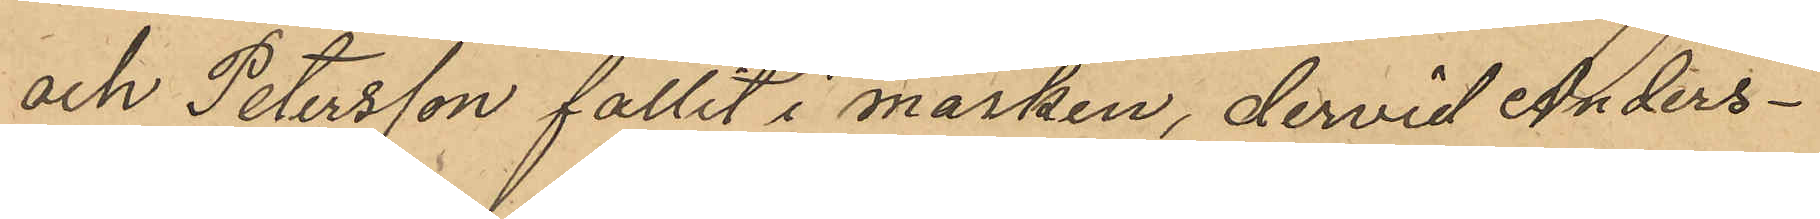och Petersson fallit i marken, dervid Anders¬
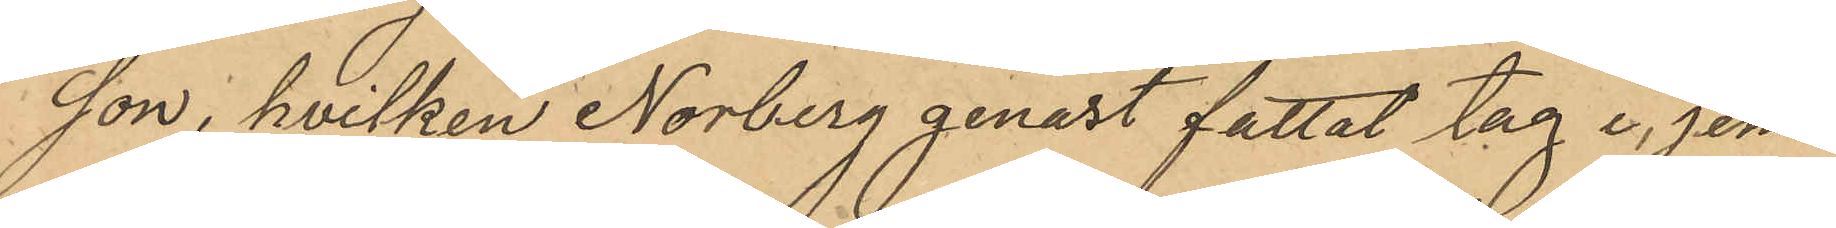son, hvilken Norberg genast fattat tag i jem¬
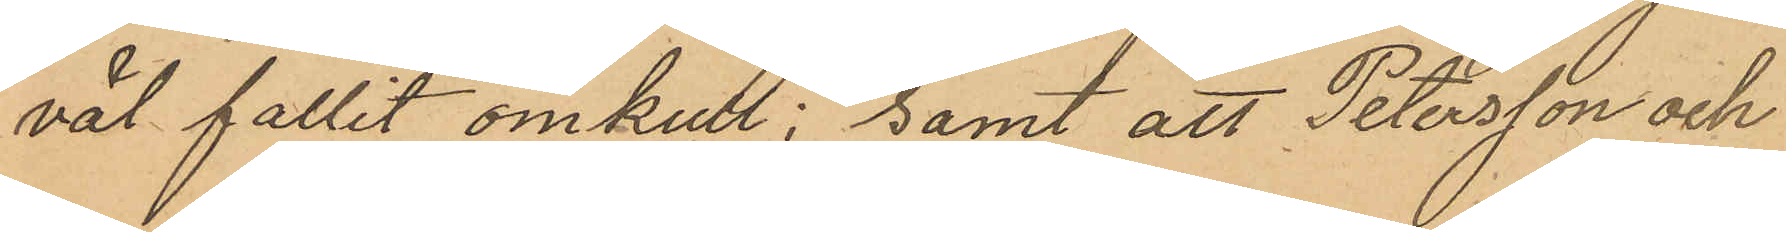väl fallit omkull; samt att Petersson och
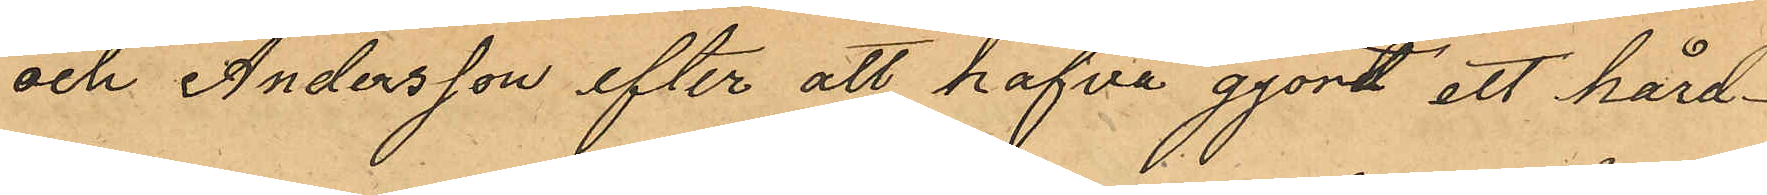och Andersson efter att hafva gjort ett hård¬
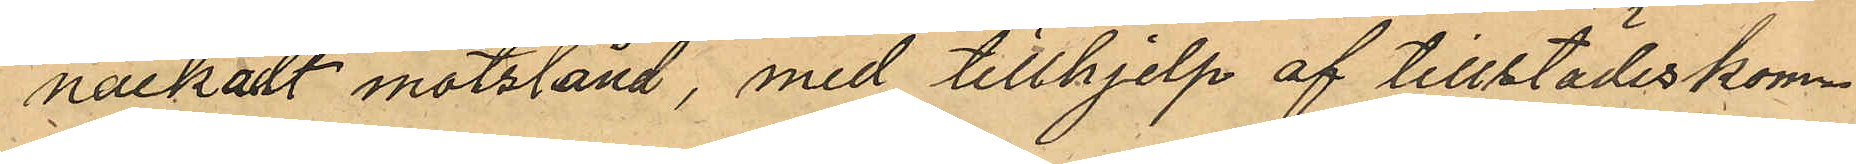nackadt motstånd, med tillhjelp af tillstädeskom¬
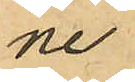ne
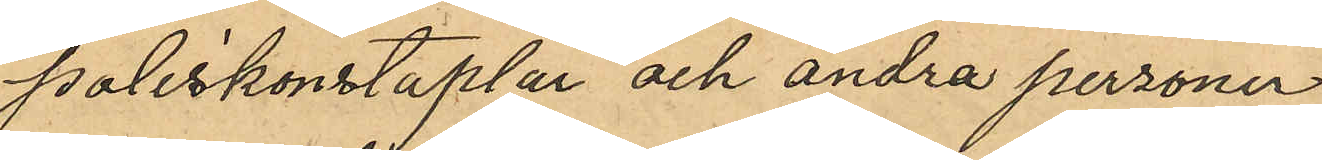poliskonstaplar och andra personer
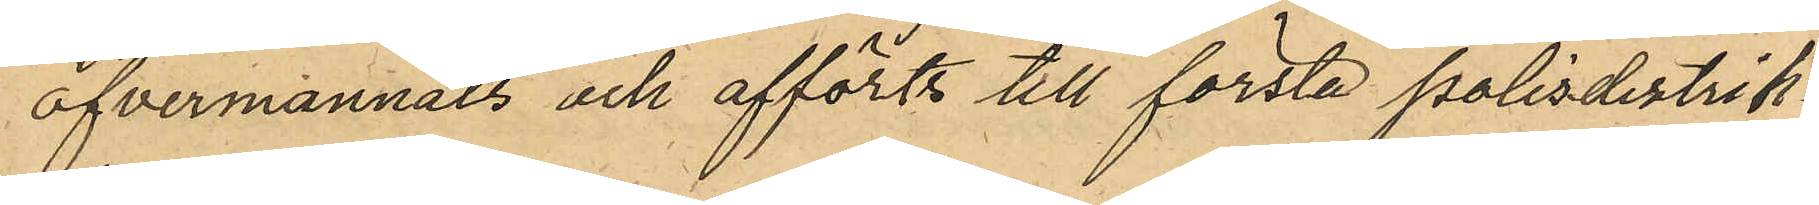öfvermannats och afförts till första polisdistrik¬
